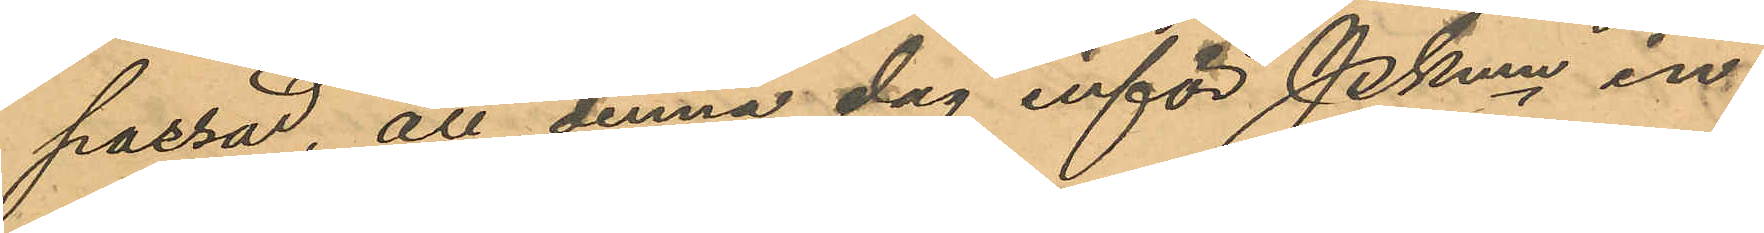passad, att denna dag inför Pkmn in¬
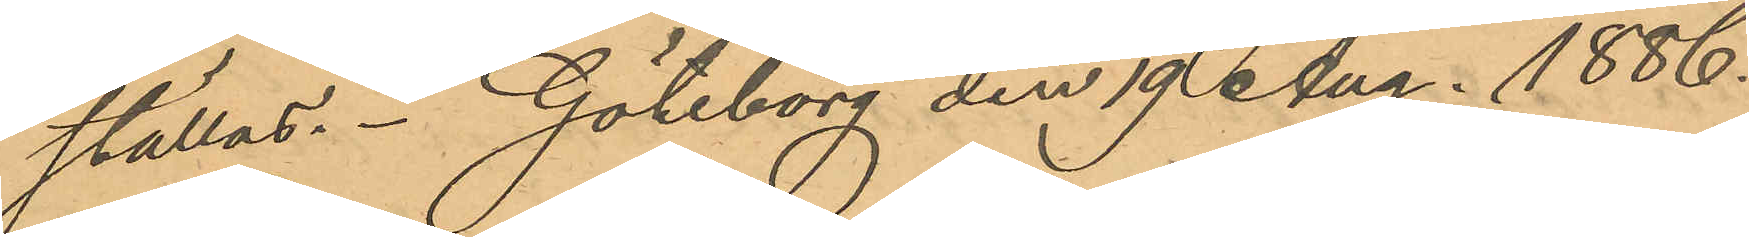ställas. Göteborg den 19 Aug. 1886.
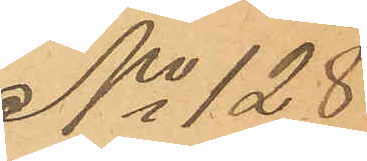No 128
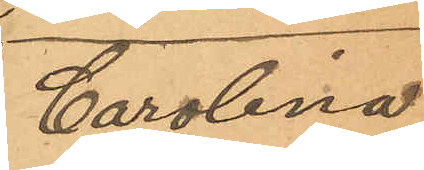Carolina
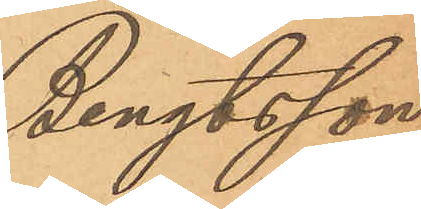Bengtsson
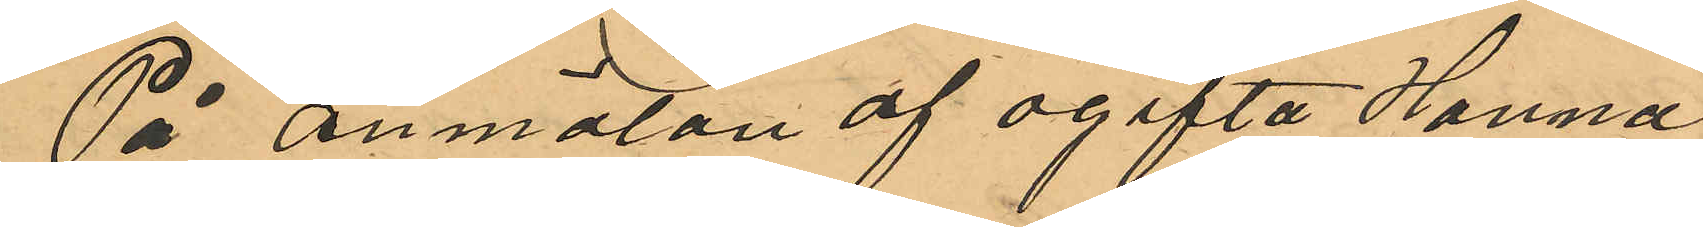På anmälan af ogifta Hanna
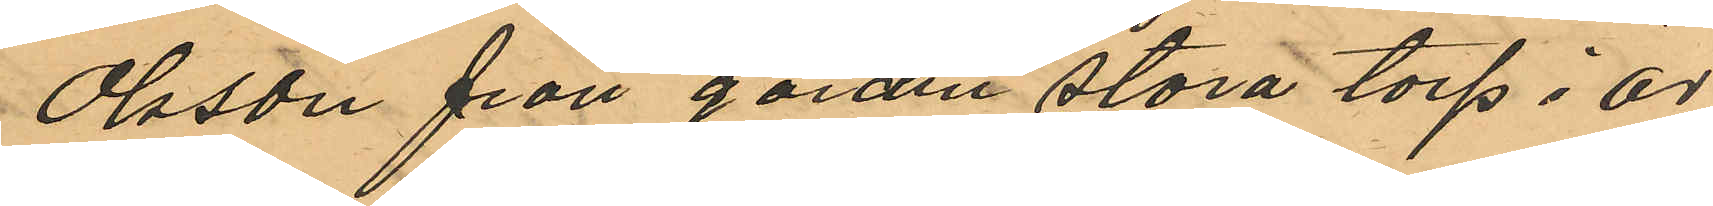Olsson från gården Stora torp i Ör¬
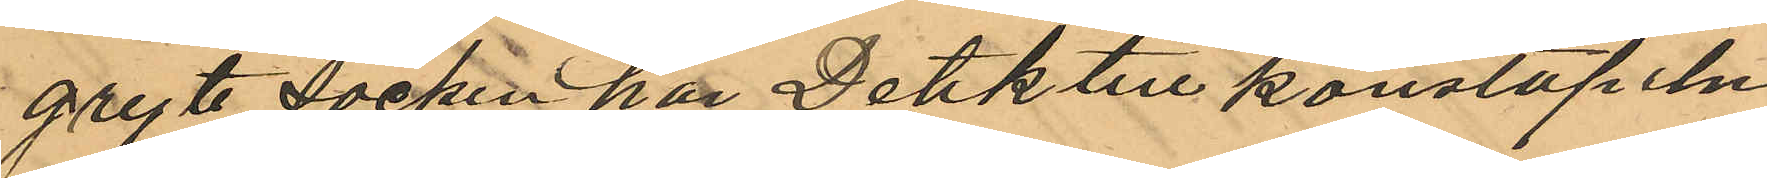gryte Socken har Detektivkonstapeln
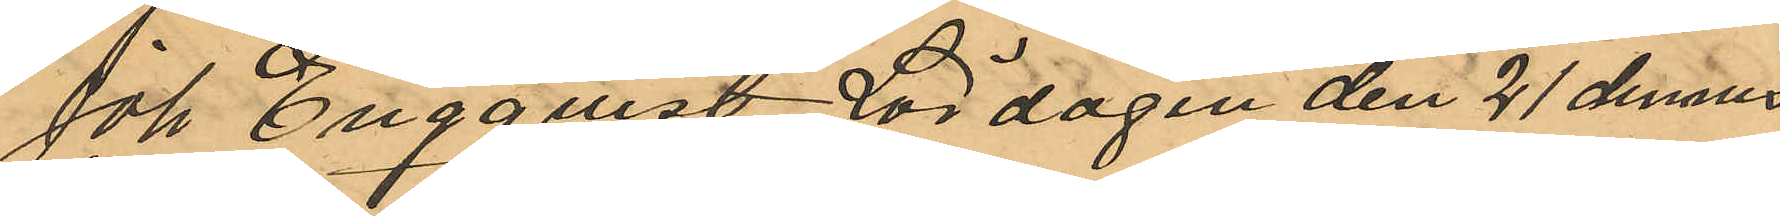Joh Engqvist Lördagen den 21 dennes
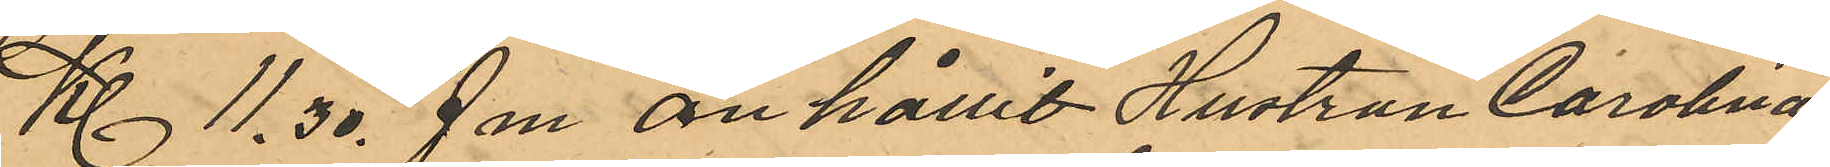Kl 11,30 fm. anhållit Hustrun Carolina
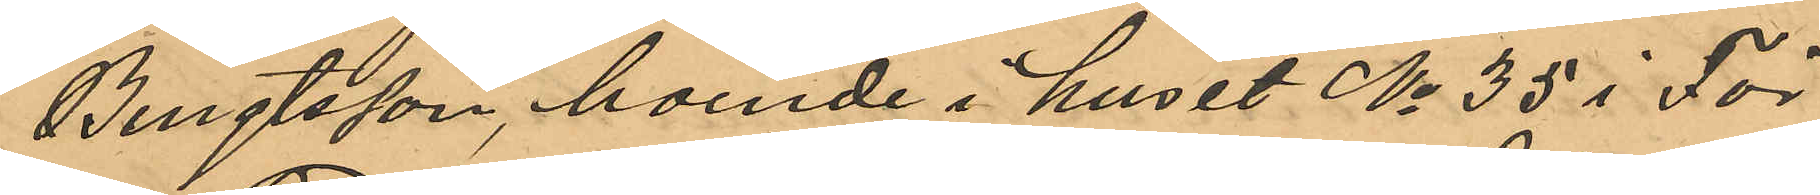Bengtsson, boende i huset No 35 i För¬
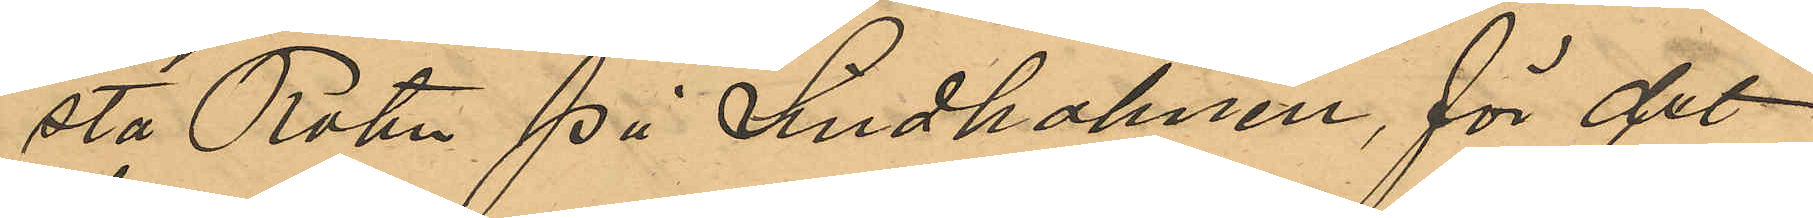sta Roten på Lindholmen, för det
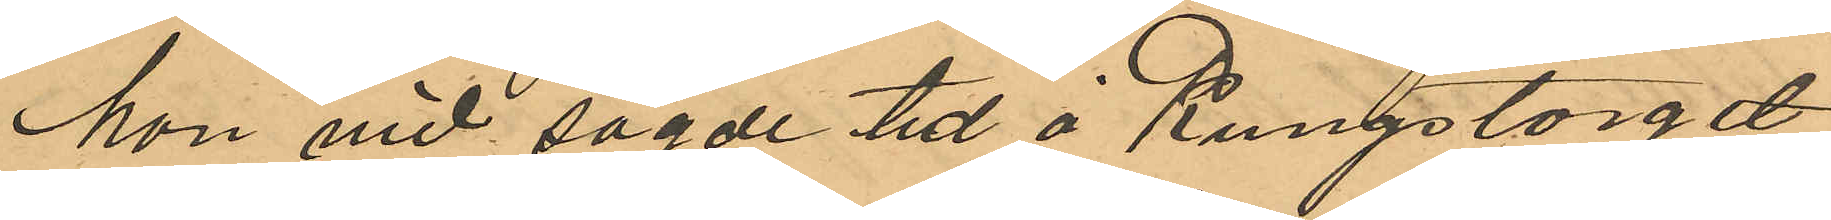hon vid sagde tid å Kungstorget
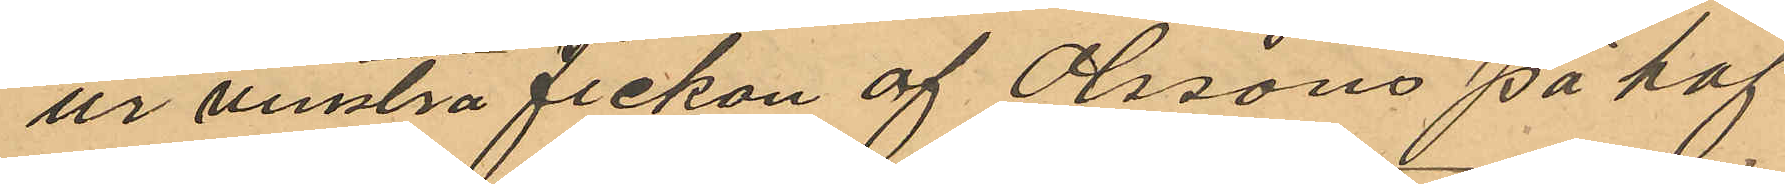ur venstra fickan af Olssons påhaf¬
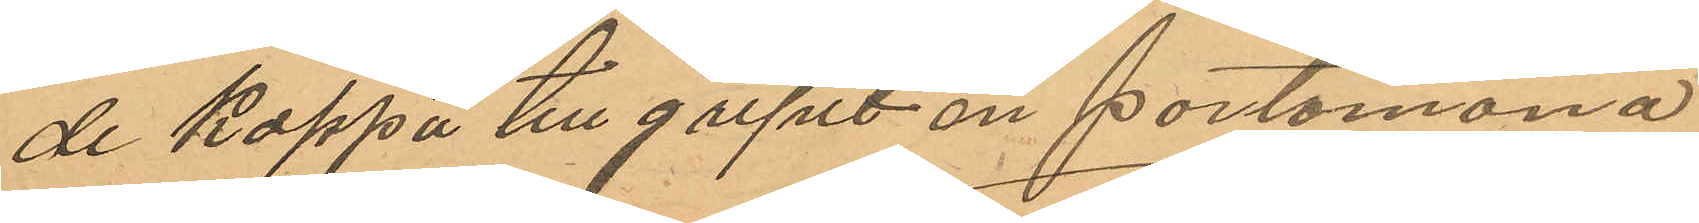de kappa tillgripit en portomonä
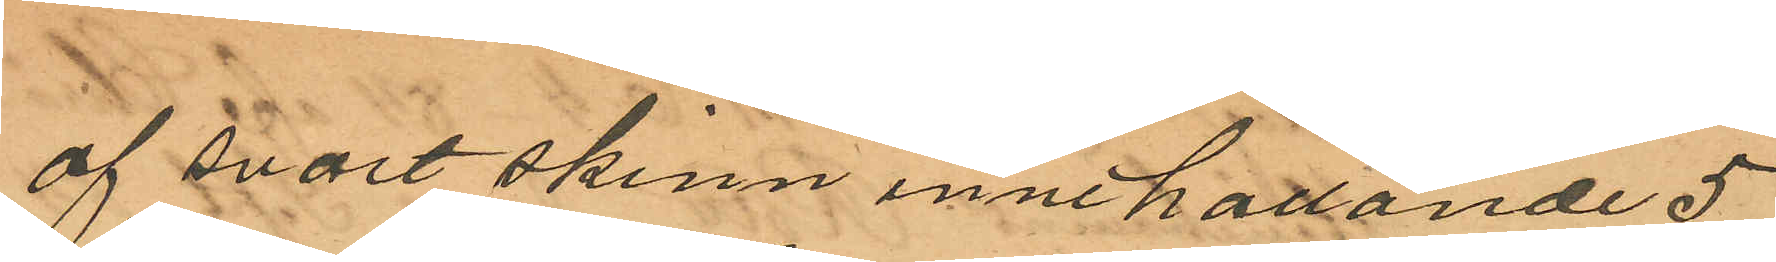af svart skinn innehållande 5
